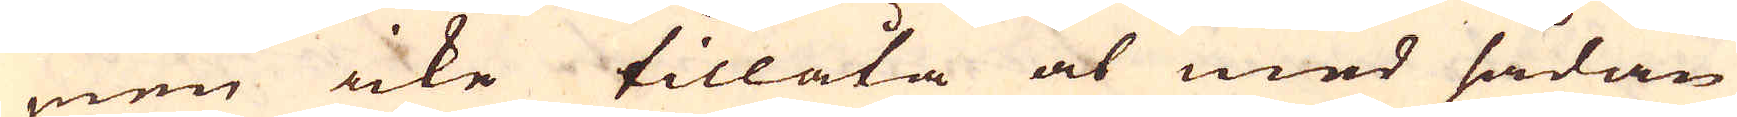men icke tillåta at med sådan
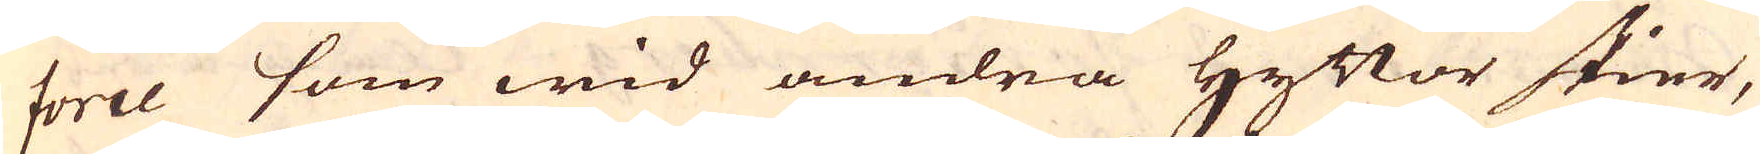force som wid andra Hyttor skier,
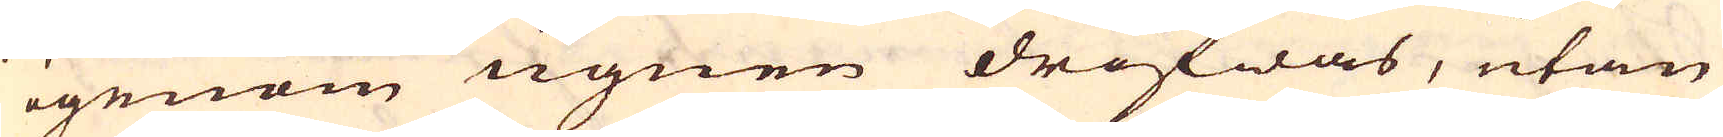igenom ugnen drifwas, utan
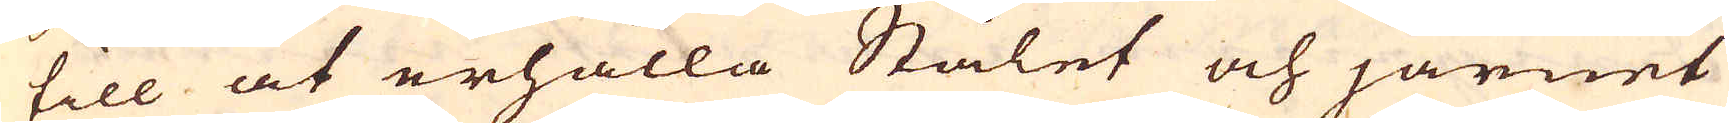till at erhålla Stålet och järnet
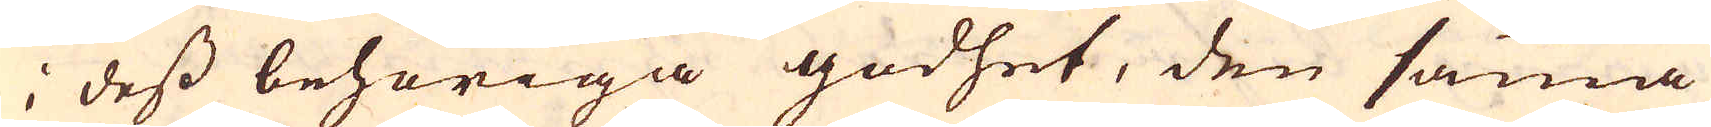i dess behöriga godhet, den samma
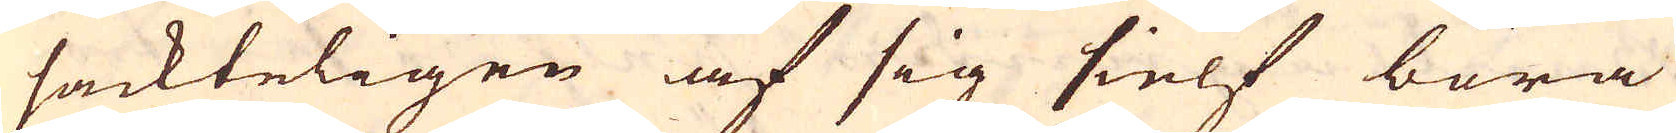sackteligen af sig sielf böra
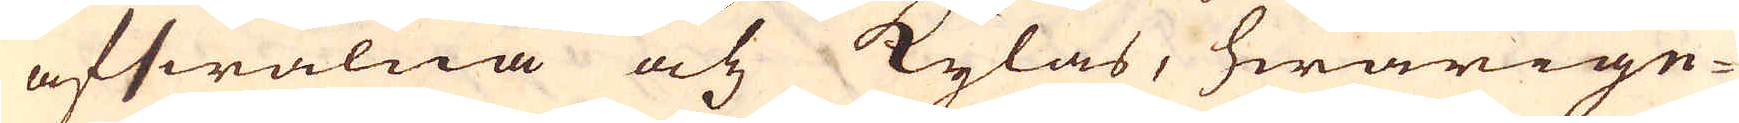afswalna och kylas, hwarige-
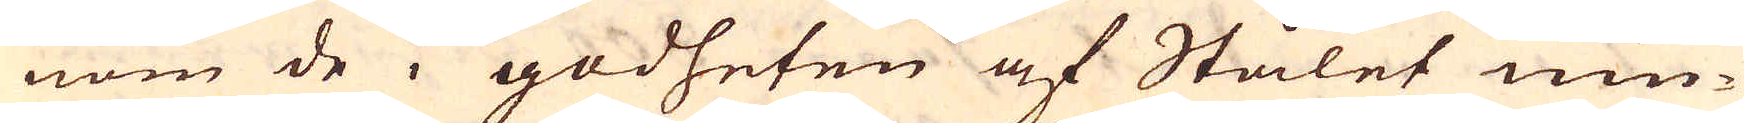nom de i godheten af Stålet niu-
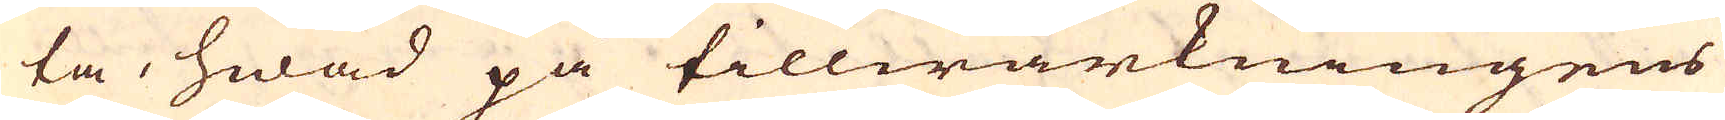ta, hwad på tillwärkningens
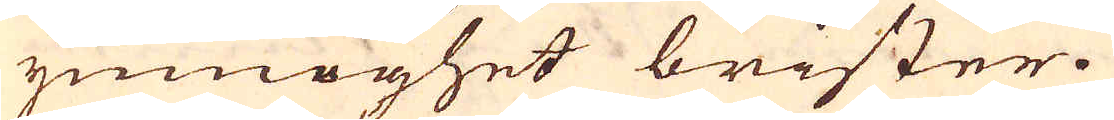ymnoghet brister.
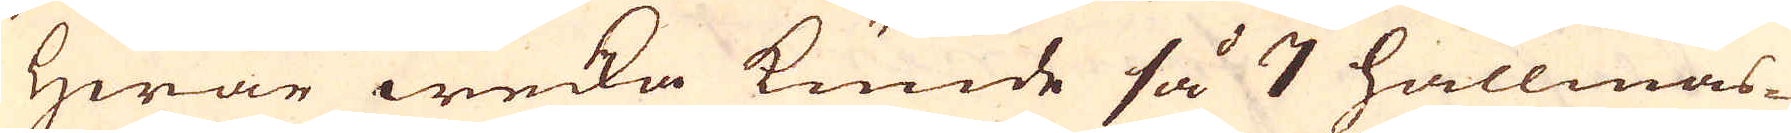Hwar wecka kunde så 7 hallmas-
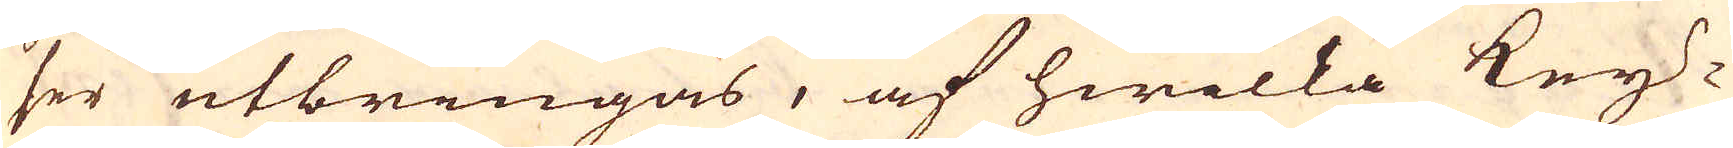ser utbringas, af hwilka Key-
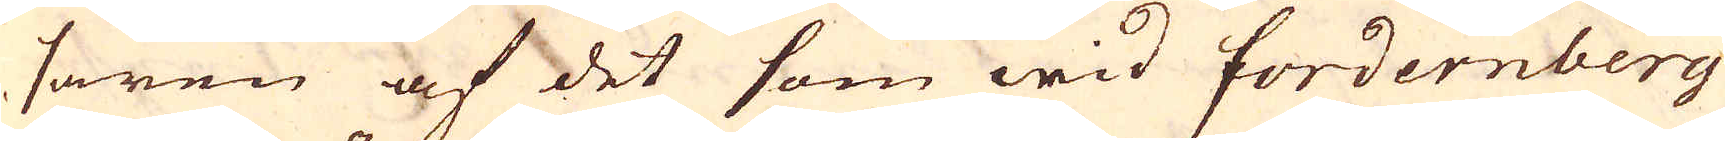saren af det som wid Fordernberg
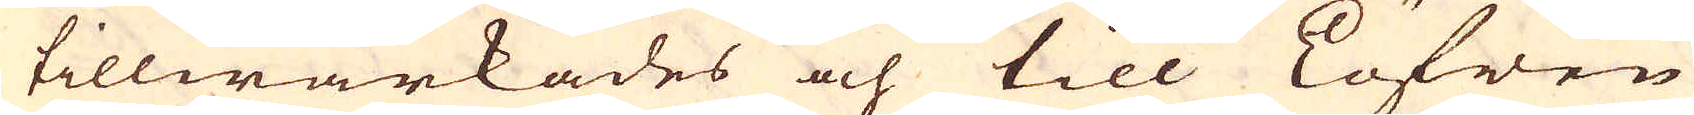tillwärkades och till Löfwen
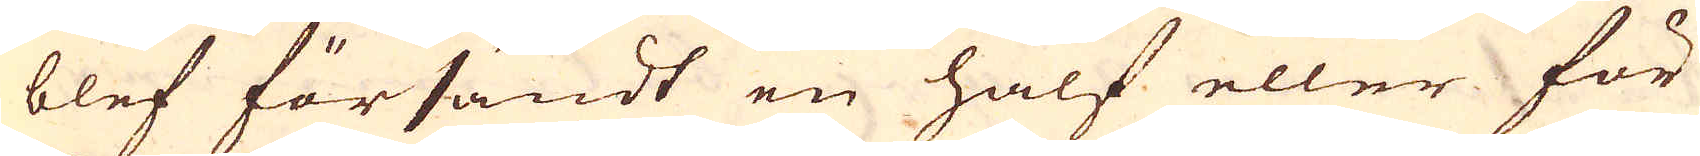blef försändt en half eller för
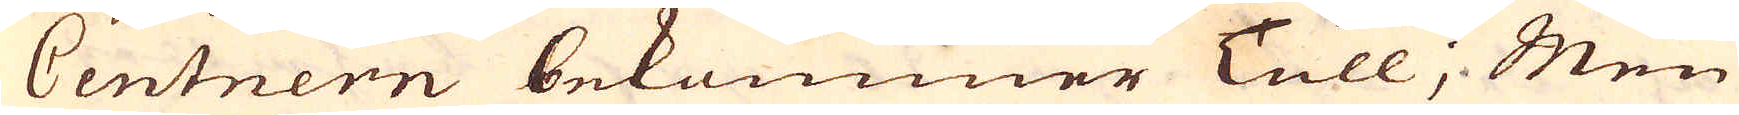Centnern bekommer Tull; Men
